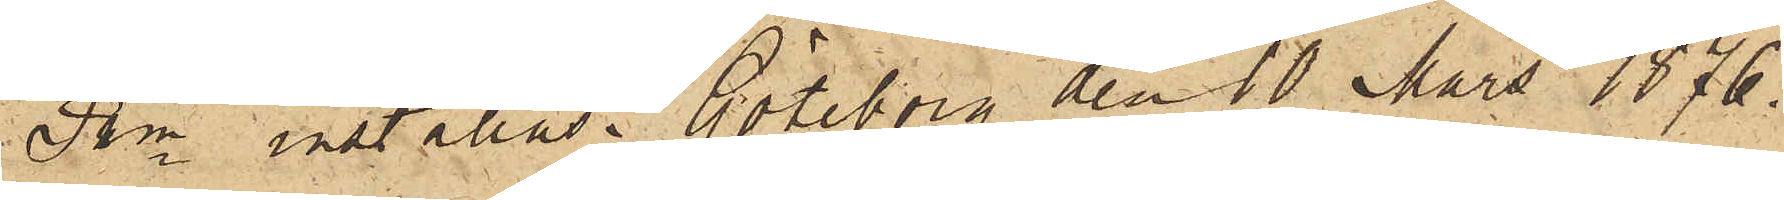Pkn inställas. Göteborg den 10 Mars 1876.
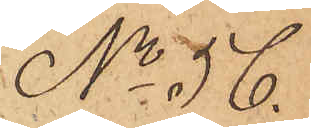No 56.
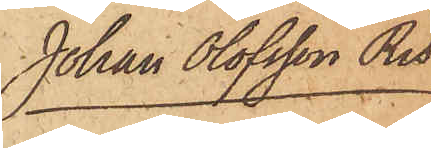Johan Olofsson Ris
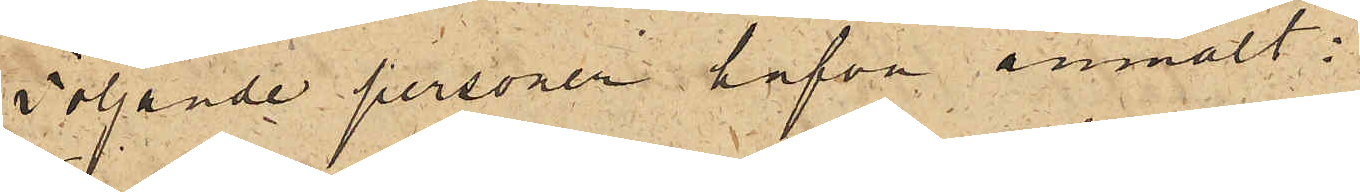Följande personer hafva anmält:
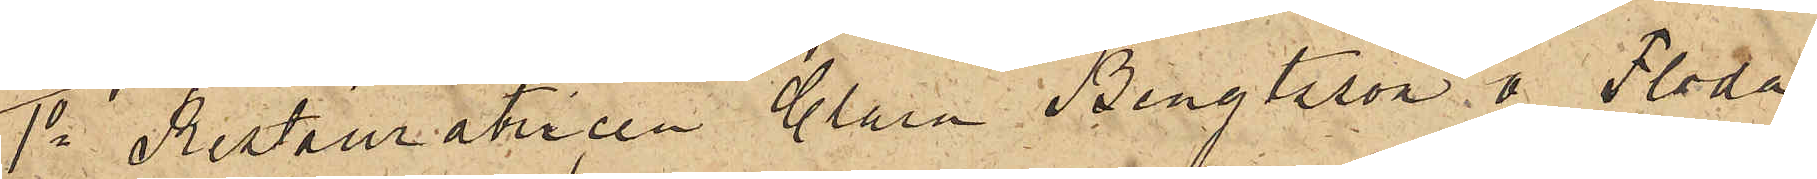1o Restauratricen Clara Bengtsson å Floda
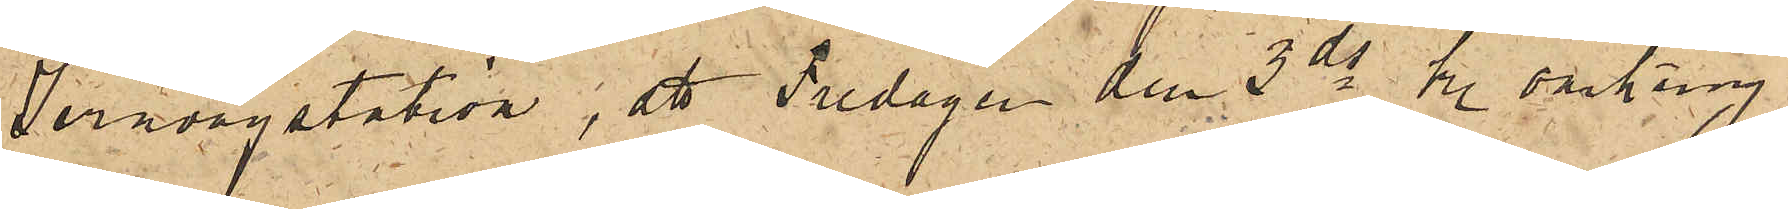Jernvegstation, att Fredagen den 3 ds kl. omkring
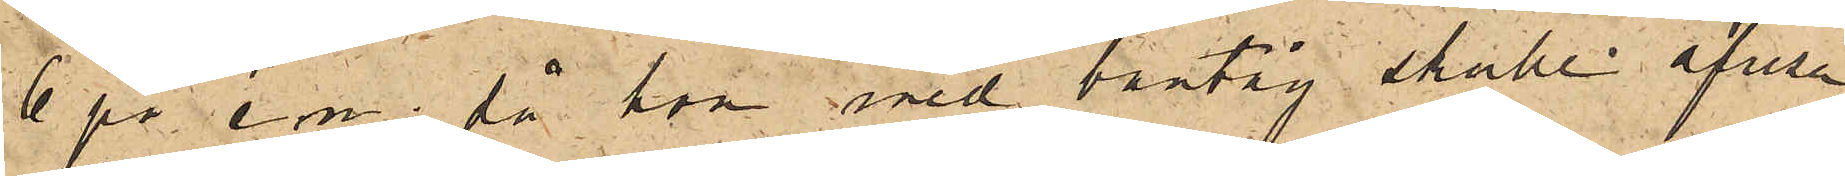6 på e.m., då hon med bantåg skulle afresa
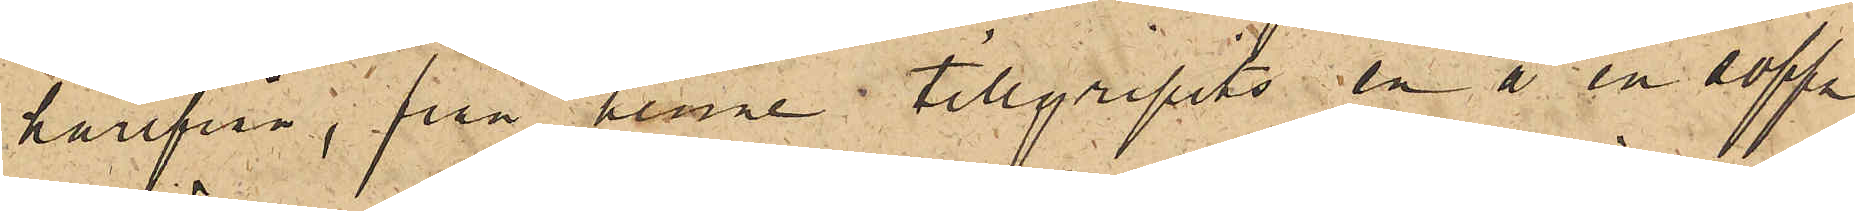härifrån, från henne tillgripits en å en soffa
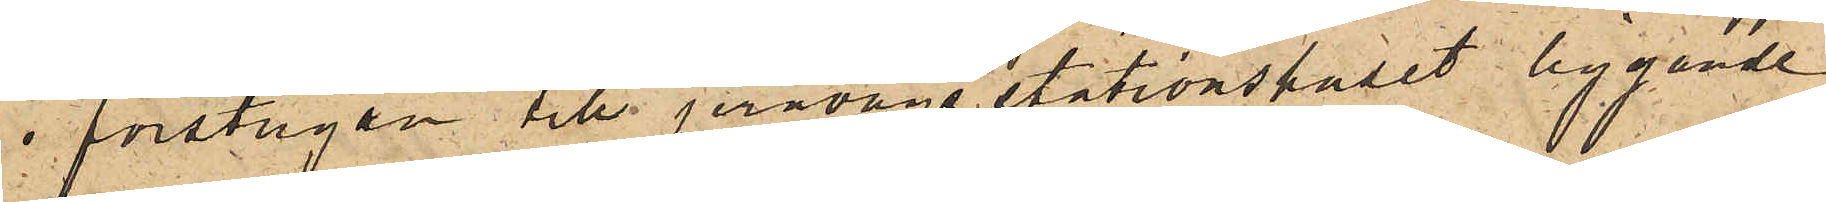i förstugan till jernvägsstationshuset liggande
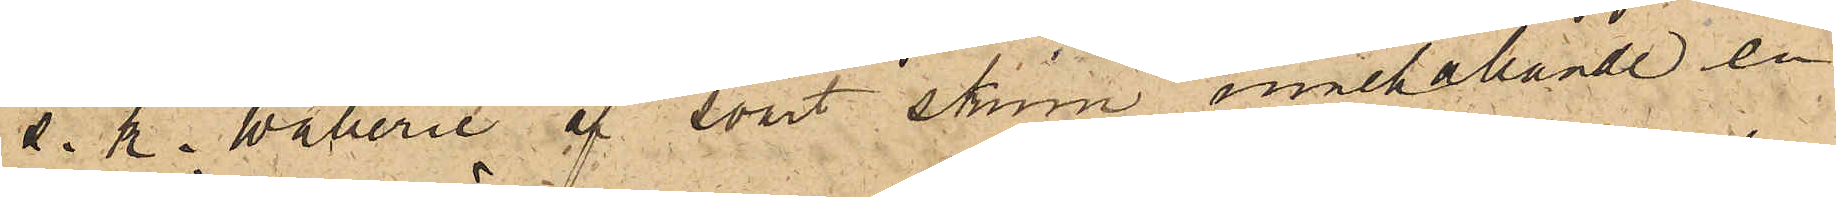s. k. Waberie af svart skinn, innehållande en
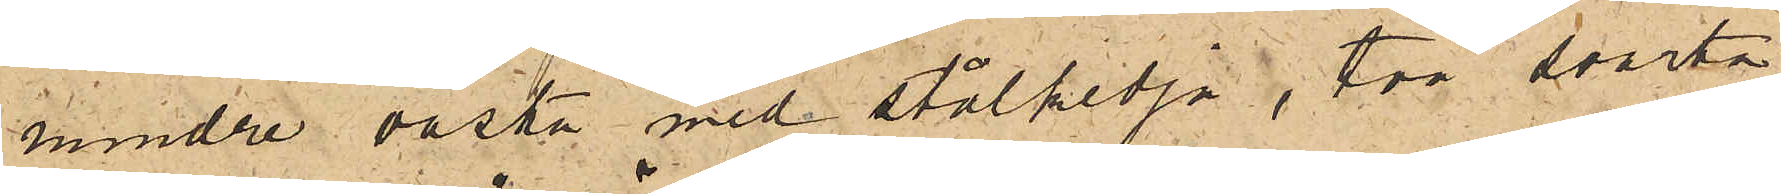mindre väska med stålkedja, två svarta
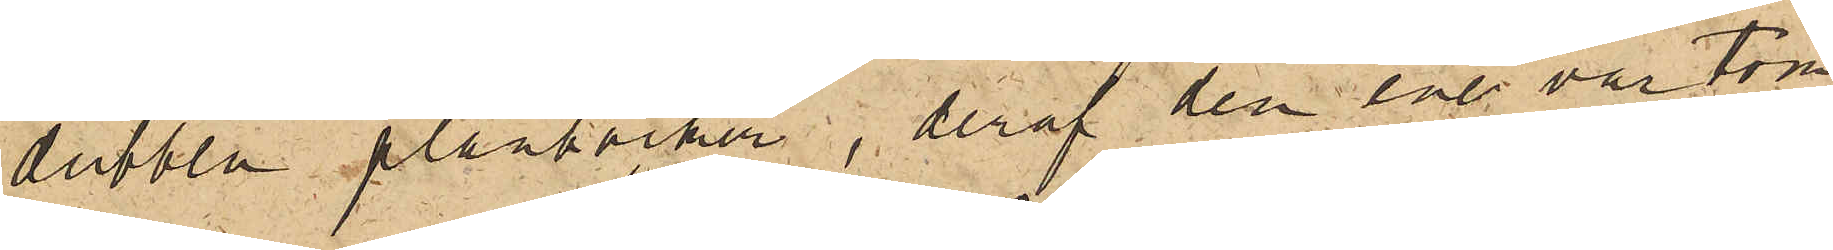dubbla plånböcker, deraf den ene var tom
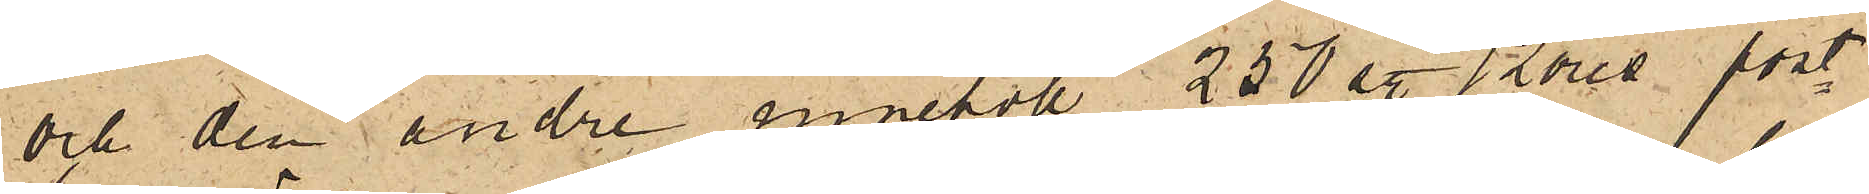och den andre innehöll 250 st 12 öres post¬
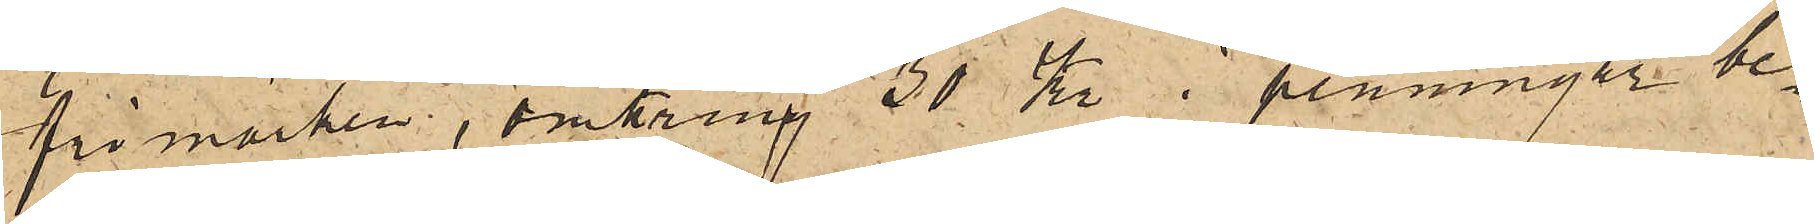frimärken, omkring 30 Kr i penningar be¬
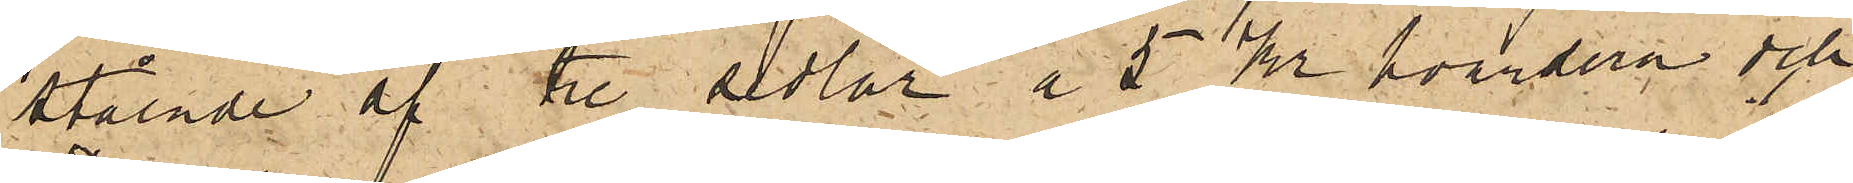stående af tre sedlar a 5 kr hvardera och
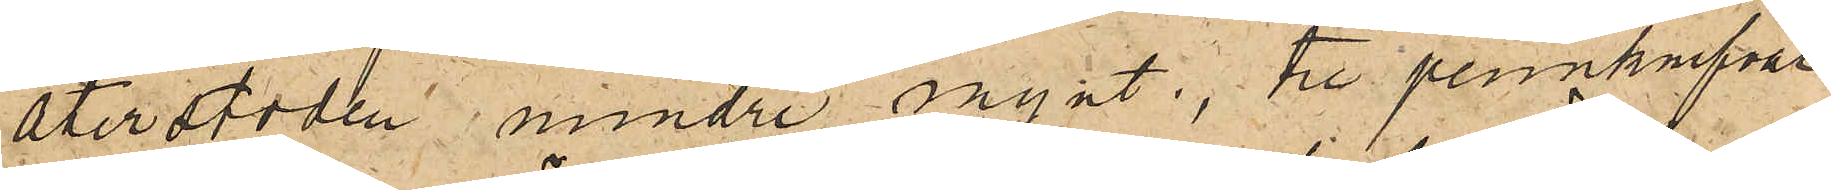återstoden mindre mynt, tre pennknifvar
